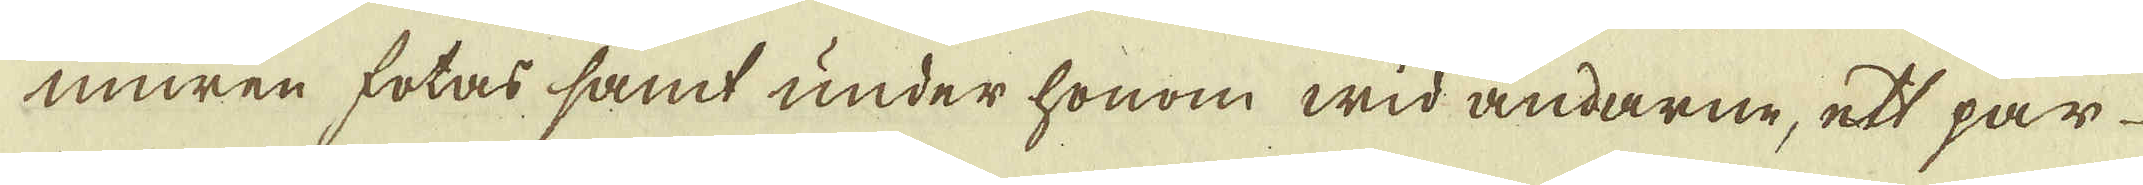muren fotas samt under honom wid ändarne, ett par
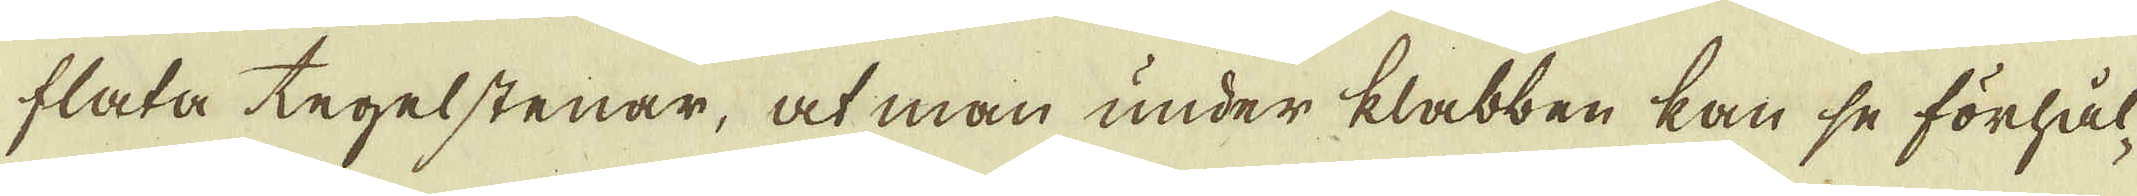flata tegelstenar, at man under klabben kan se förhål-
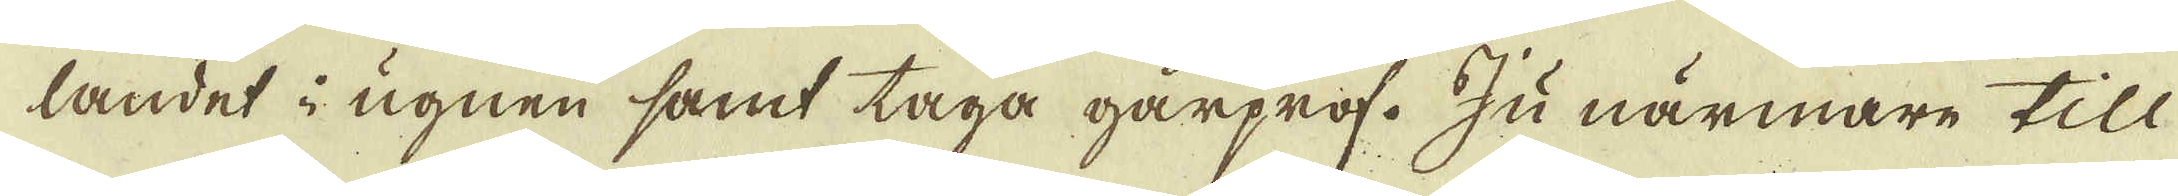landet i ugnen samt taga gårprof. Ju närmare till
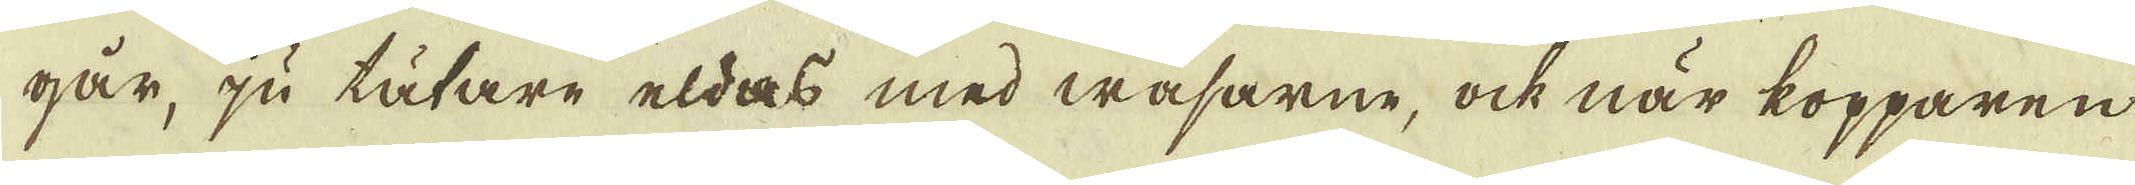går, ju tätare eldas med wasarne, ock när kopparen
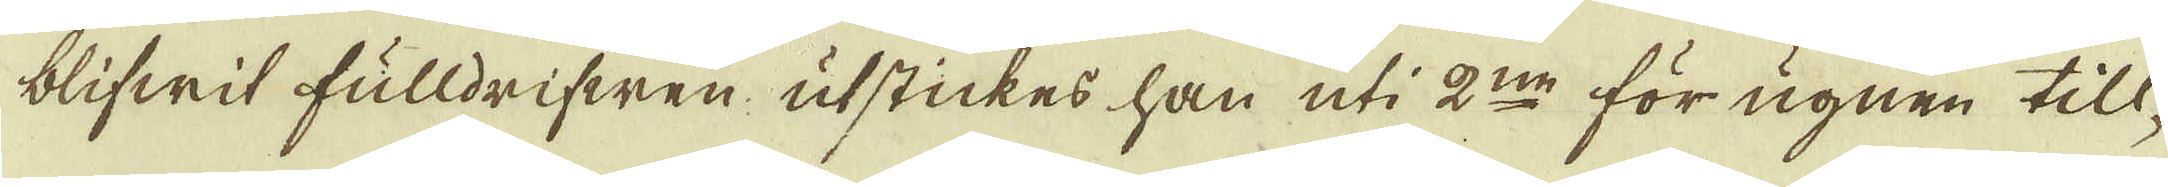blifwit fulldrifwen utstickes han uti 2:ne för ugnen till-
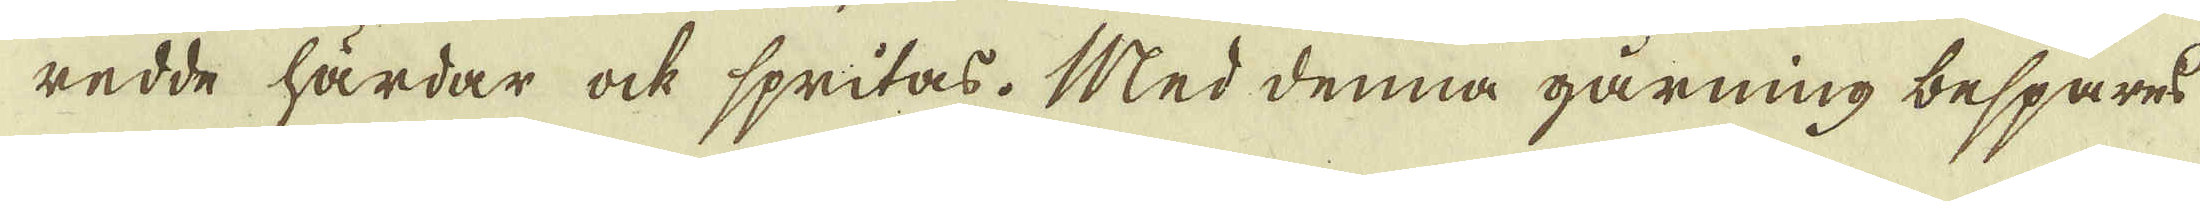redde härdar ock spritas. Med denna gårning besparas
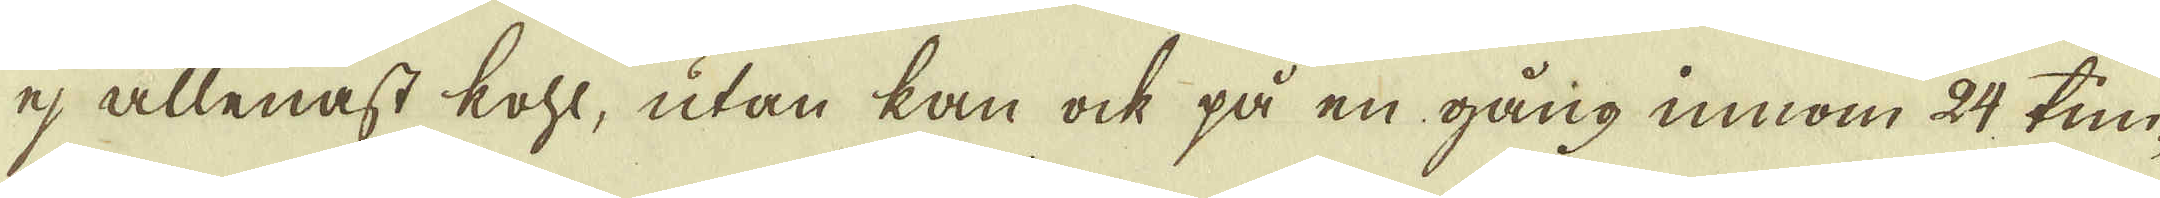ej allenast kohl, utan kan ock på en gång innom 24 tim-
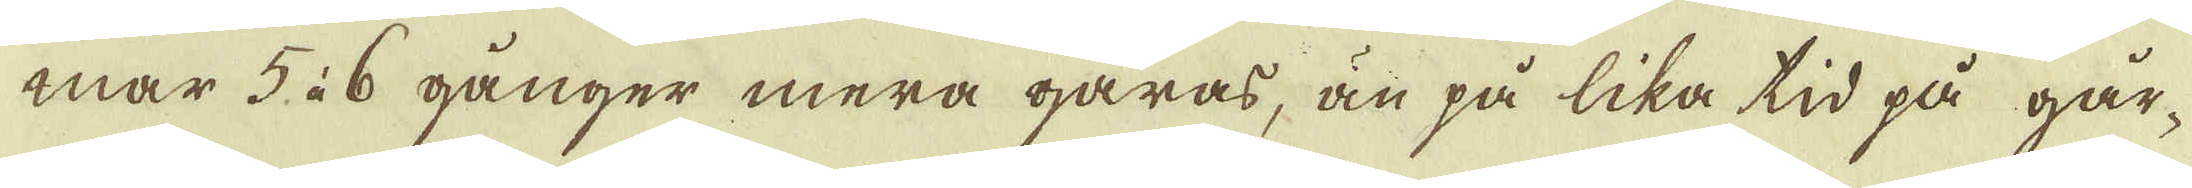mar 5 à 6 gånger mera gåras, än på lika tid på går-
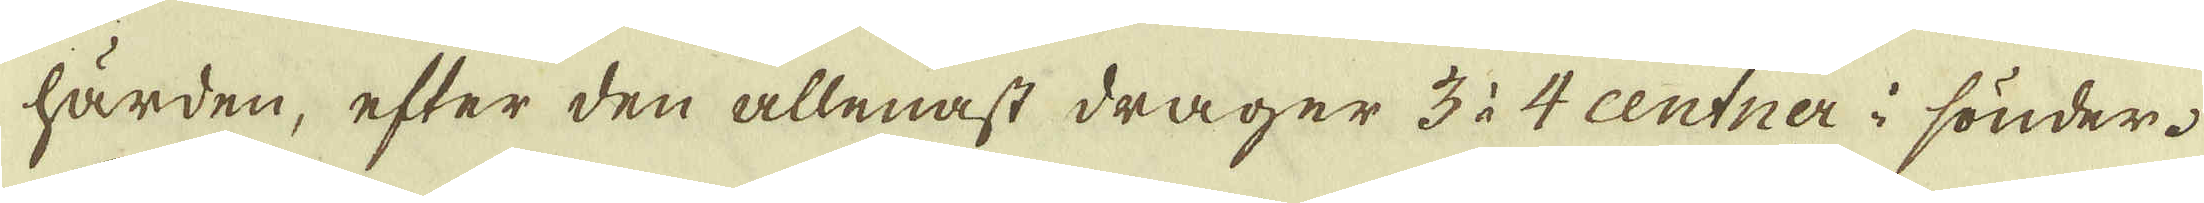härden, efter den allenast drager 3 à 4 centner i sönder.
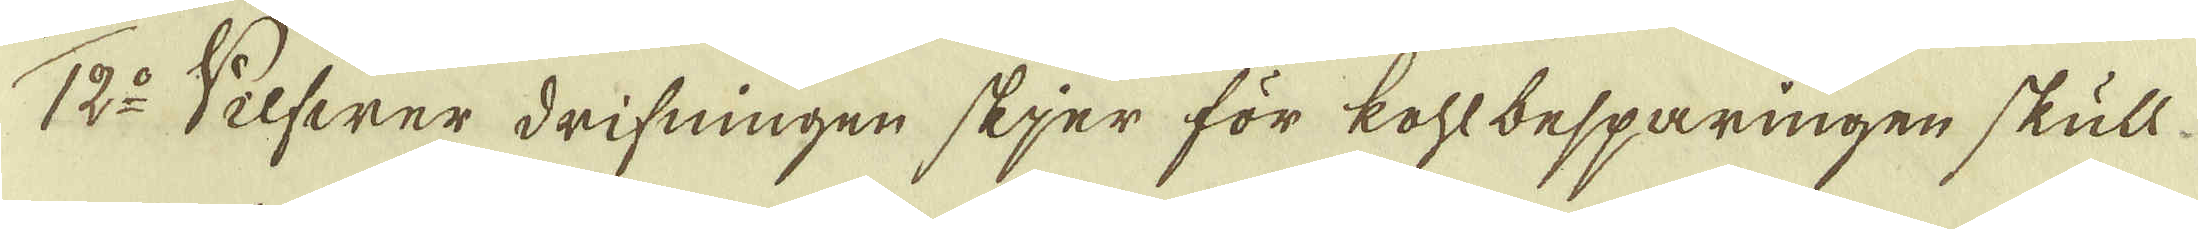12:o Silfwer drifningen skjer för kohlbesparingen skull
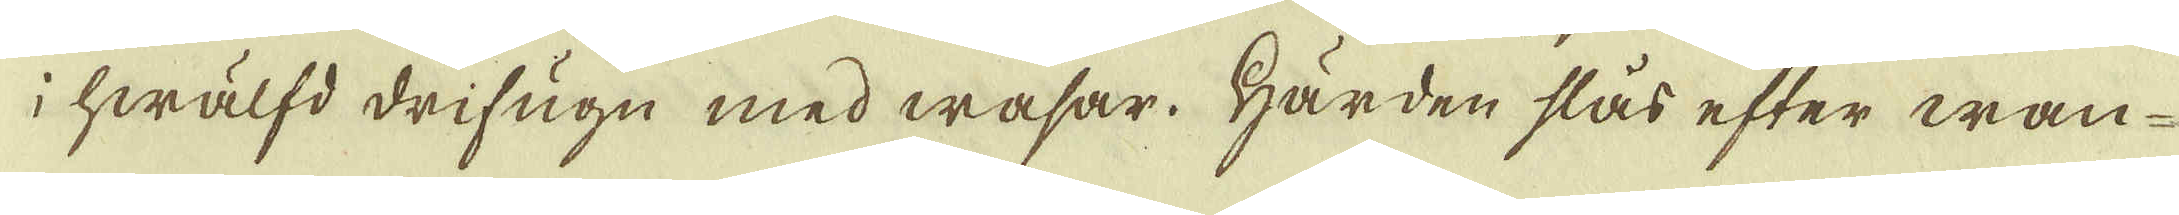i hwälfd drifugn med wasar. Härden slås efter wan-
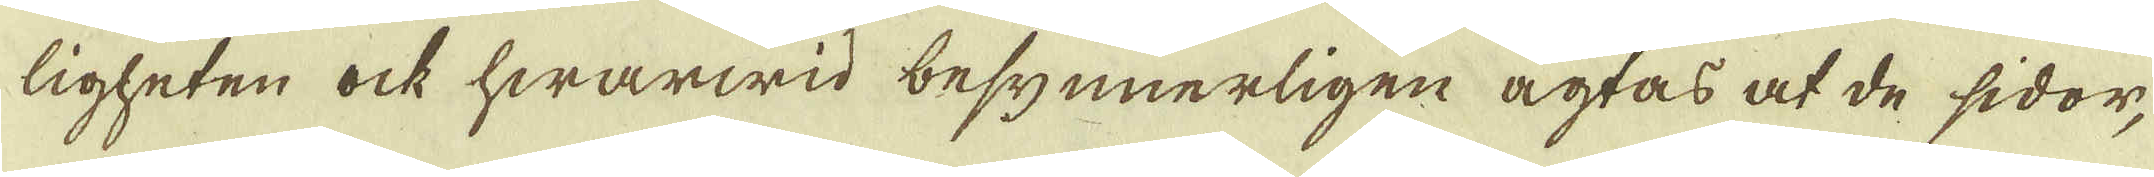ligheten ock hwarwid besynnerligen agtas at de sidor,
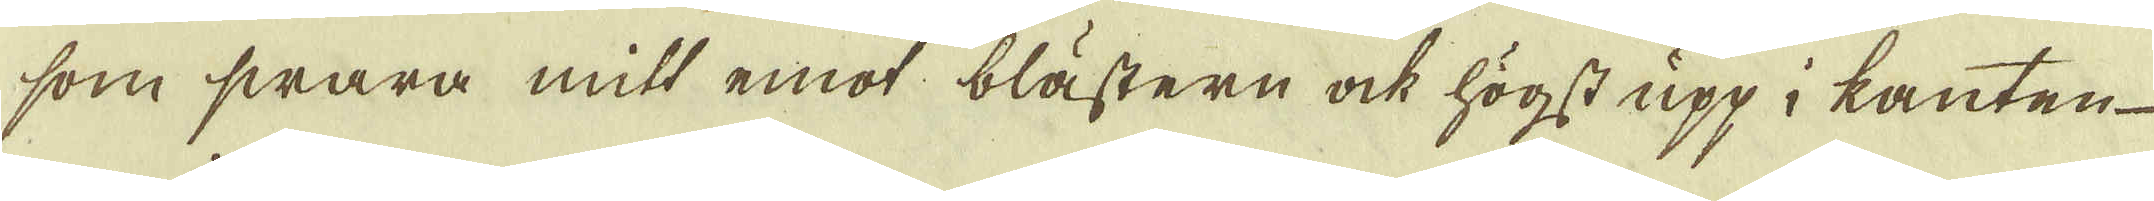som swara mitt emot blästern ock högst upp i kanten
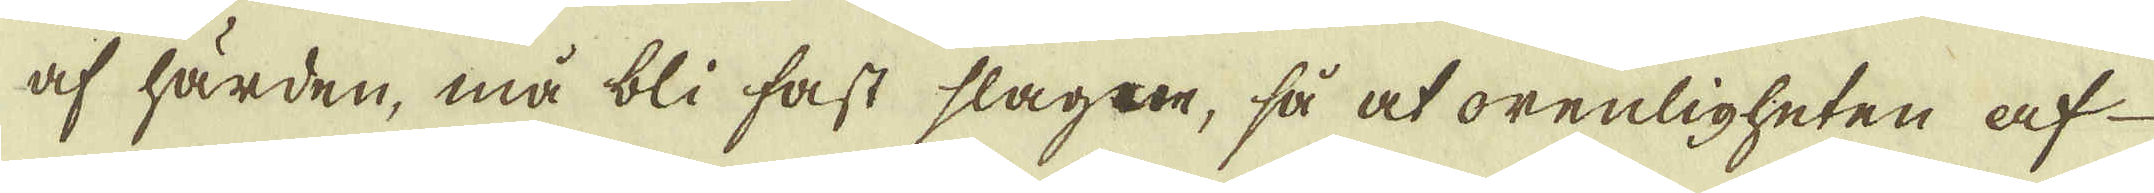af härden, må bli fast slagne, så at orenligheten af
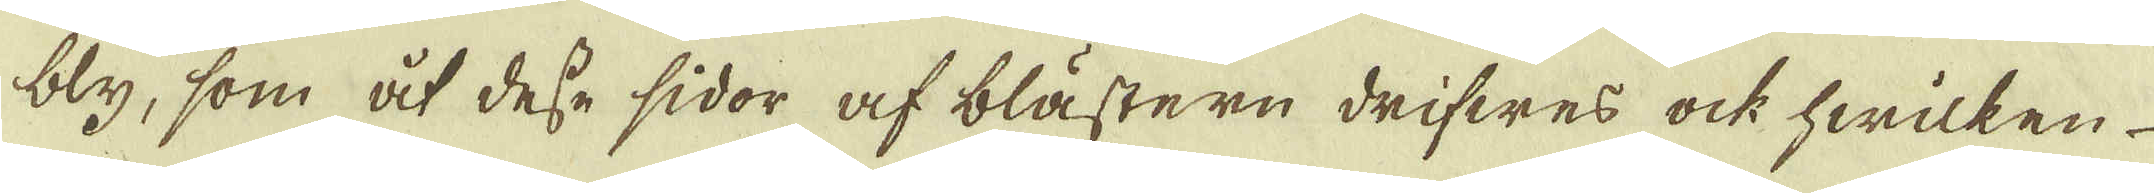bly, som åt desse sidor af blästern drifwes ock hwilken
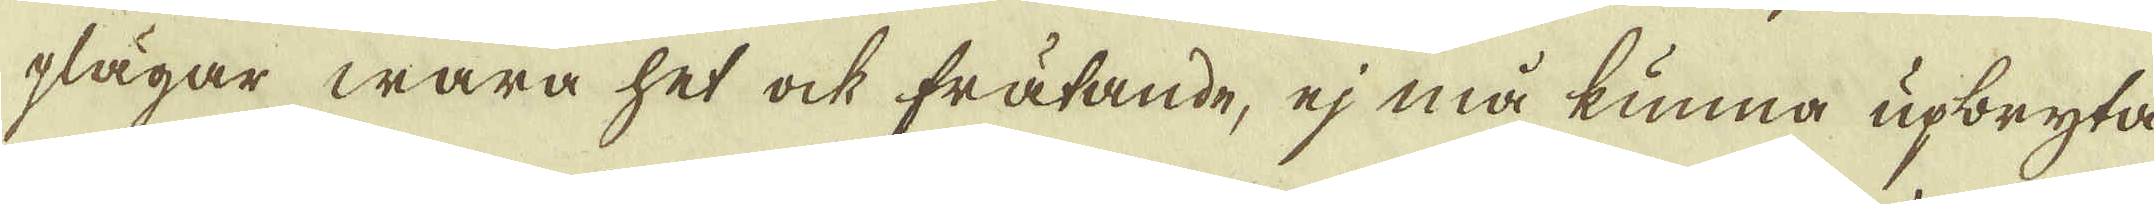plägar wara het ock frätande, ej må kunna upbryta
